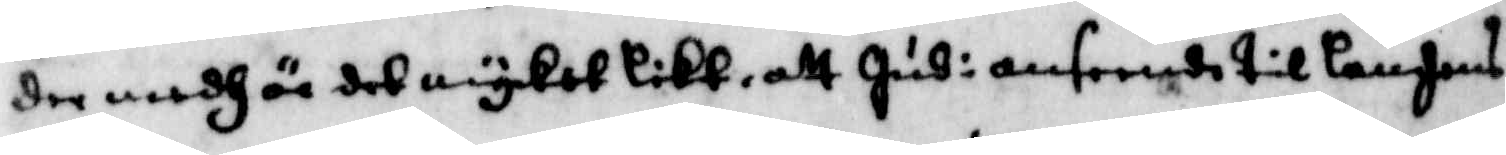der medh är det mycket likt, att Hud i anseende til landens
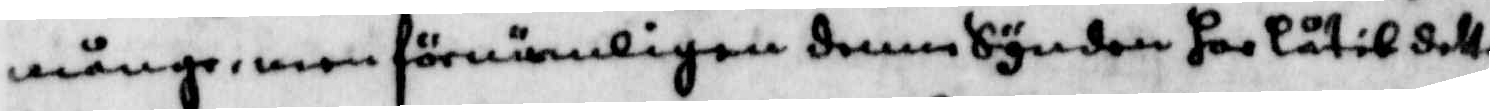månge, men förnämligen denne Synden har låtit detta
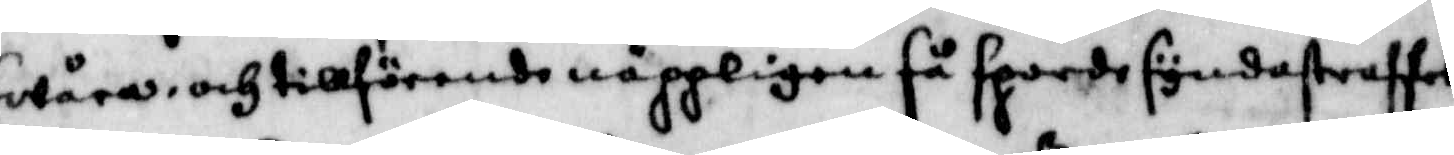swåra, och tillförende näppeligen så sporde syndastraffet
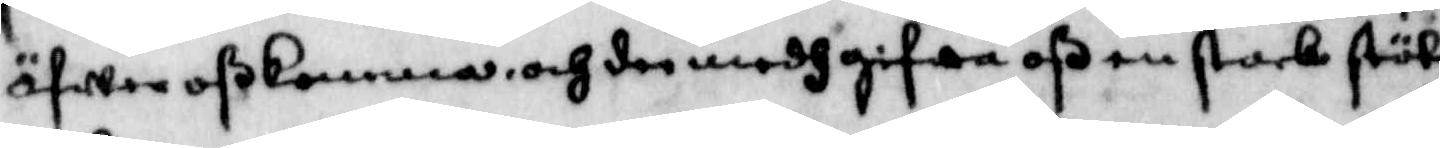öfwer oß komma, och den medh gifwa oß en stark stöt
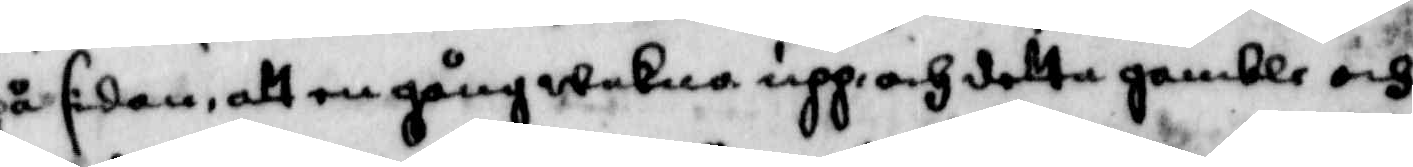på sidan, att en gång wakna upp, och detta gamble och
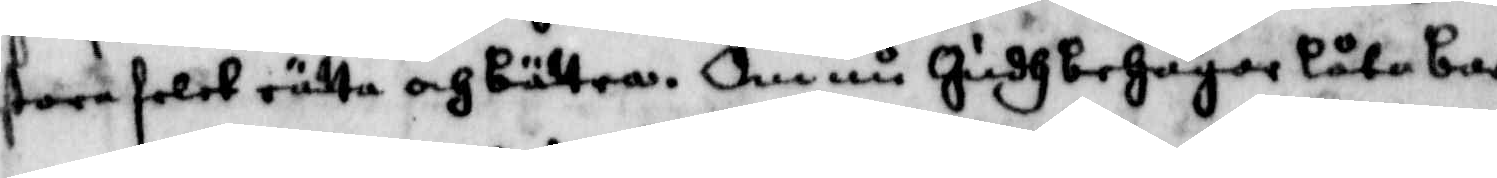stora felet rätta och bättra. Om nu Gudh behagar låta bar¬
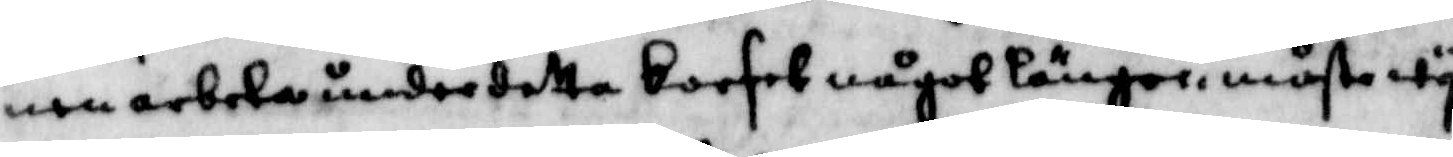nen arbeta under detta korset något längre, måste wy
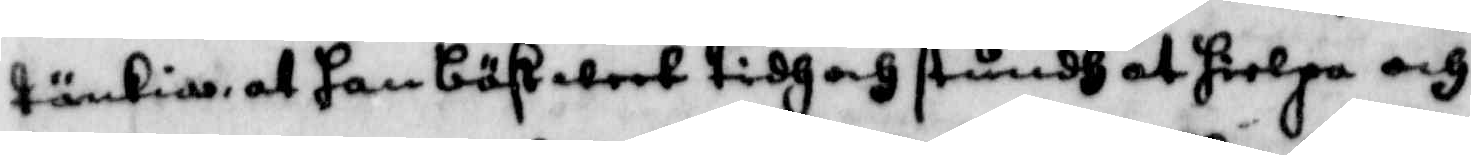tänkia, at han bäst weet tidh och stundh at hielpa och
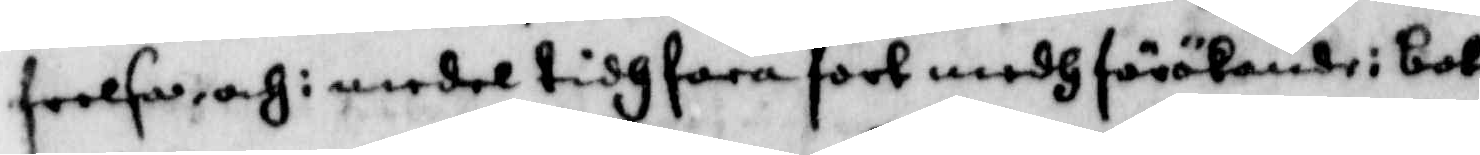frelsa, och i medel tidh fara fort medh förökande i bot
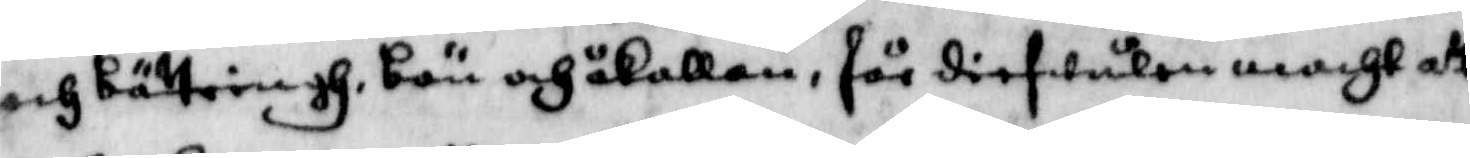och bättringh, bön och åkallan, för diefwulen macht att
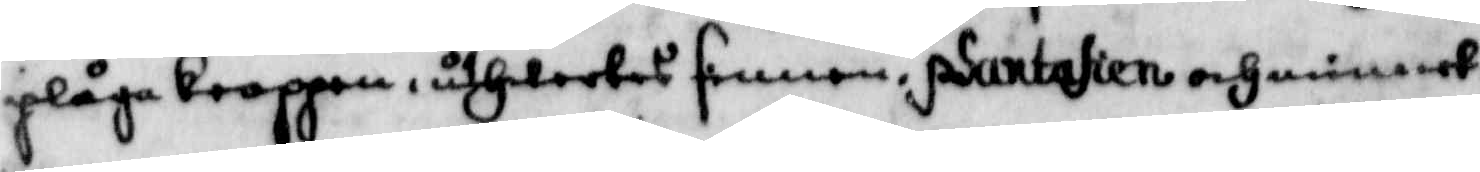plåga kroppen, utwerkas sinnen, psantasien och minnet,
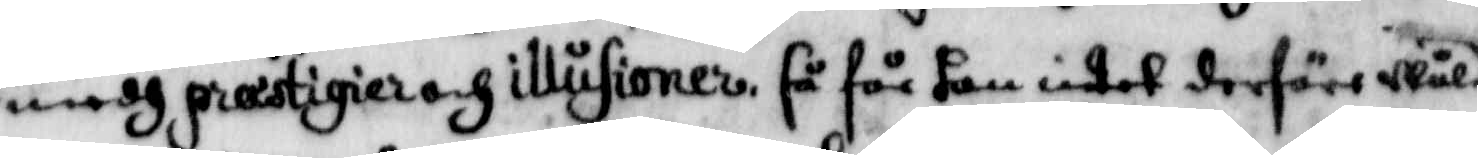medh præstigier och illusioner så får han intet derföre wåld
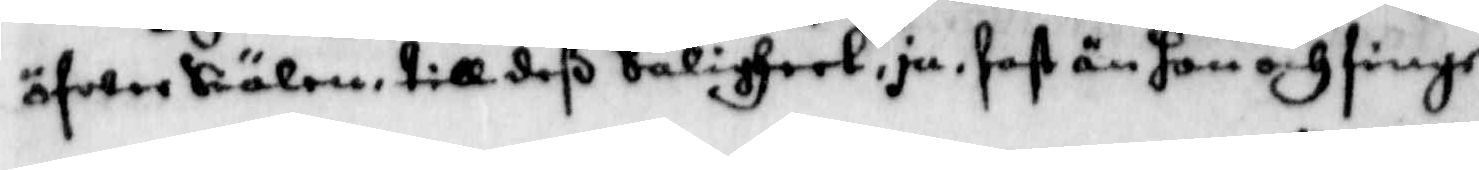öfwer Siälen till deß Saligheet, ju, fast än hon och finge
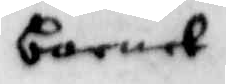barnet
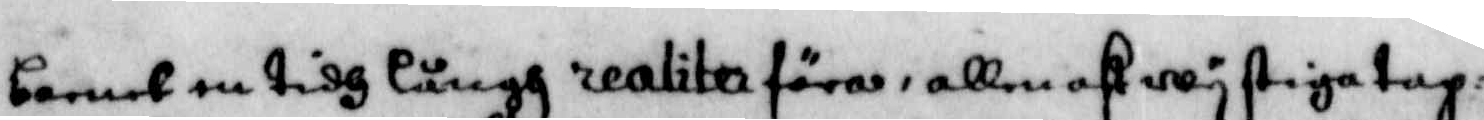barnet en tidh långh realita föra, allenast wy stiga tap¬
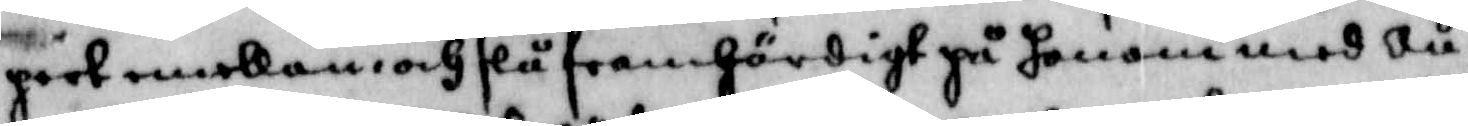pert emellan, och slå framhördigt på honom med ju¬
